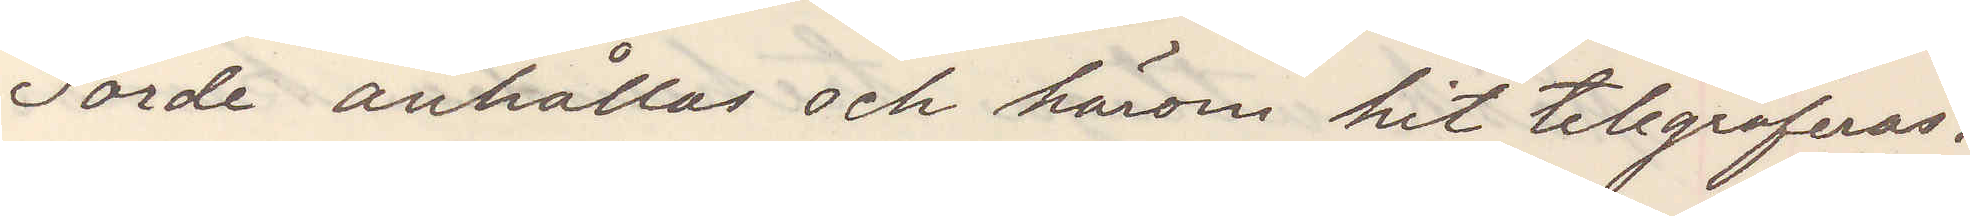Torde anhållas och härom hit telegraferas.
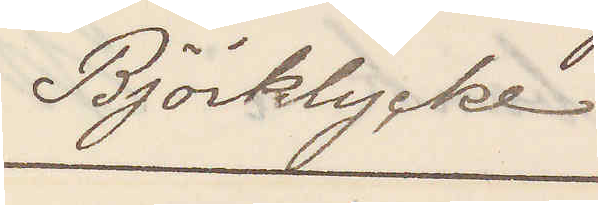Björklycke
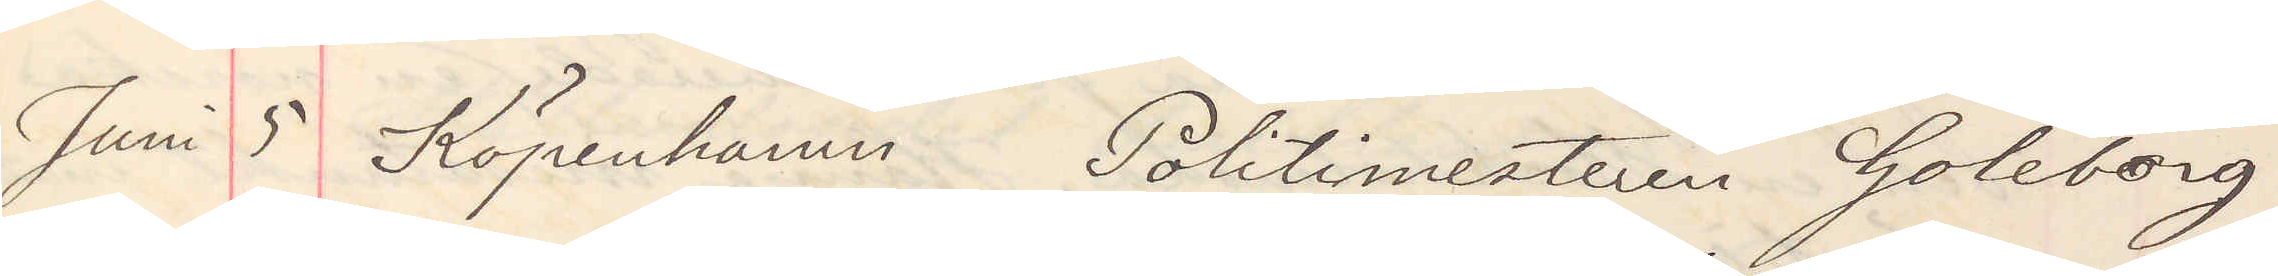Juni 5 Köpenhamn Politimesteren Goteborg
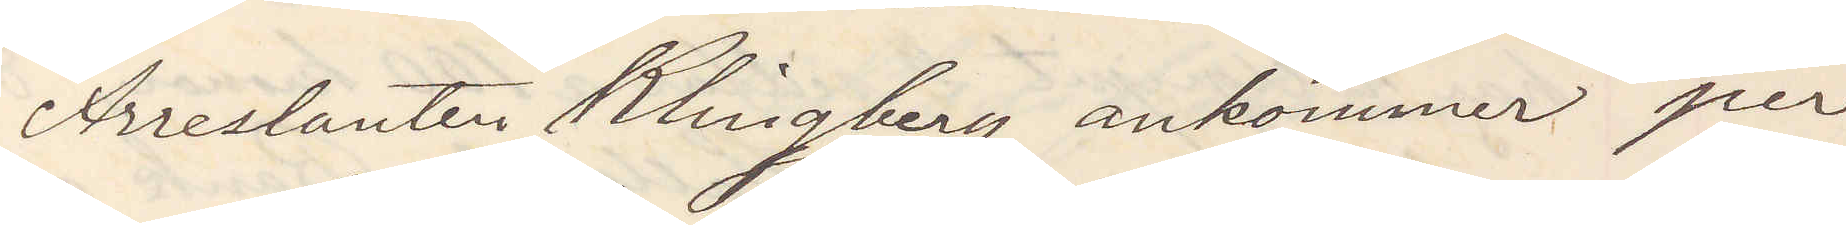Arrestanten Klingberg ankommer per
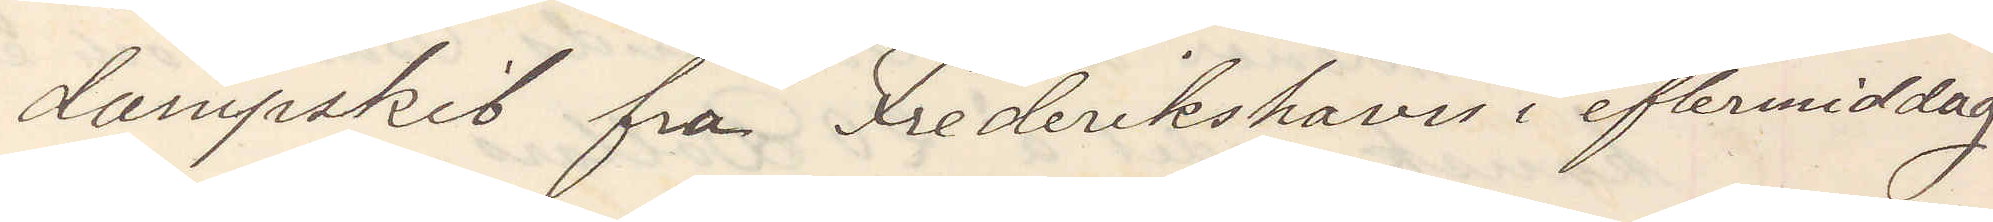dampskib fra Fredrikshavn i eftermiddag
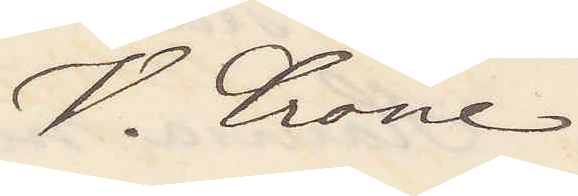V. Crone
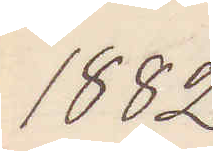1882
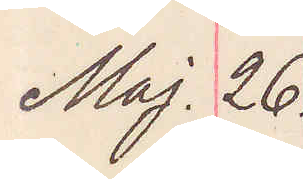Maj. 26.
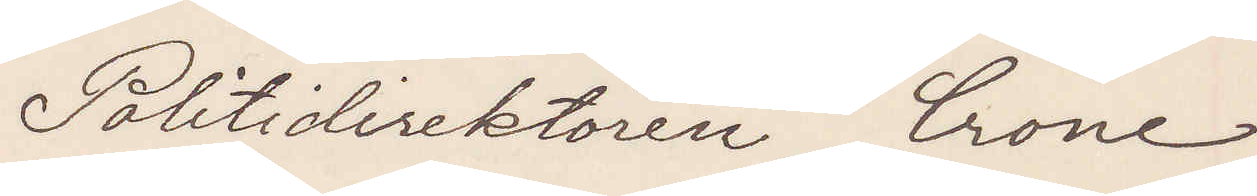Politidirektören Crone
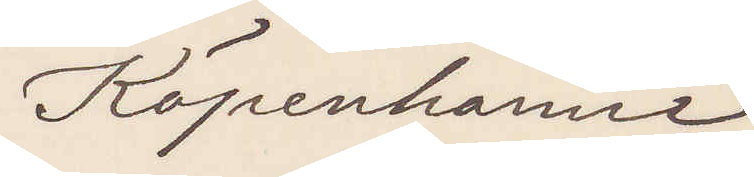Köpenhamn
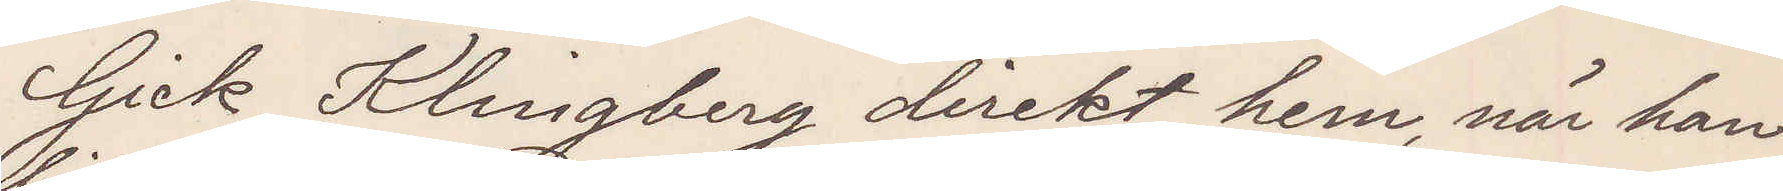Gick Klingberg direkt hem, när han
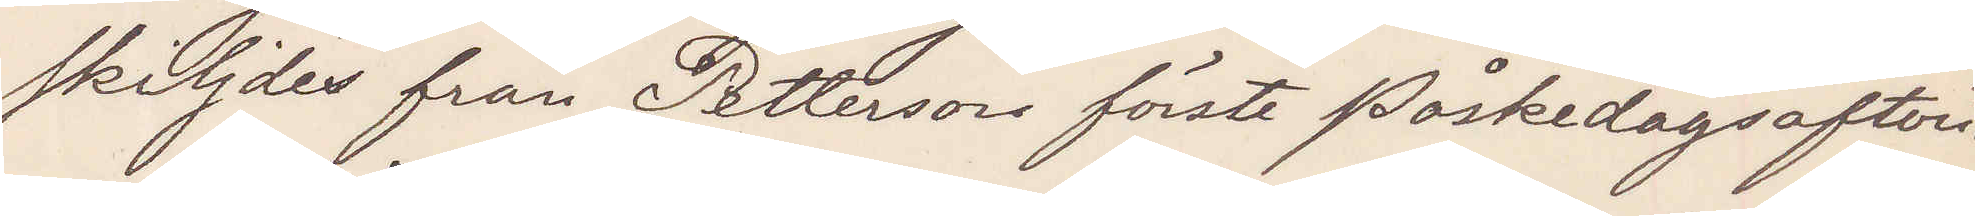skiljdes från Petterson förste påskedagsafton?
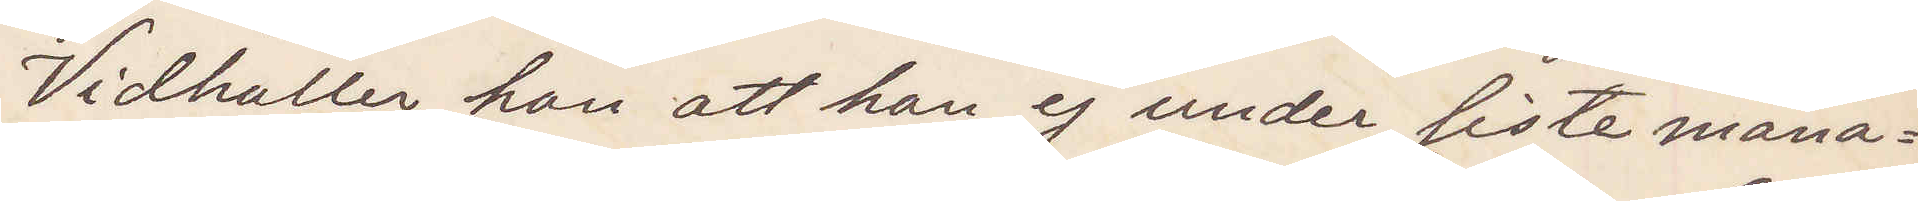Vidhåller han att han ej under siste måna¬
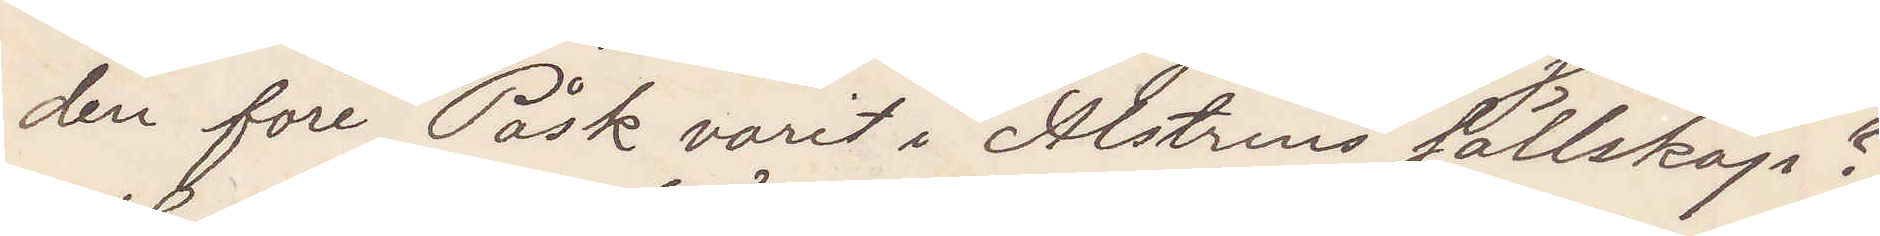den före Påsk varit i Alstrins sällskap?
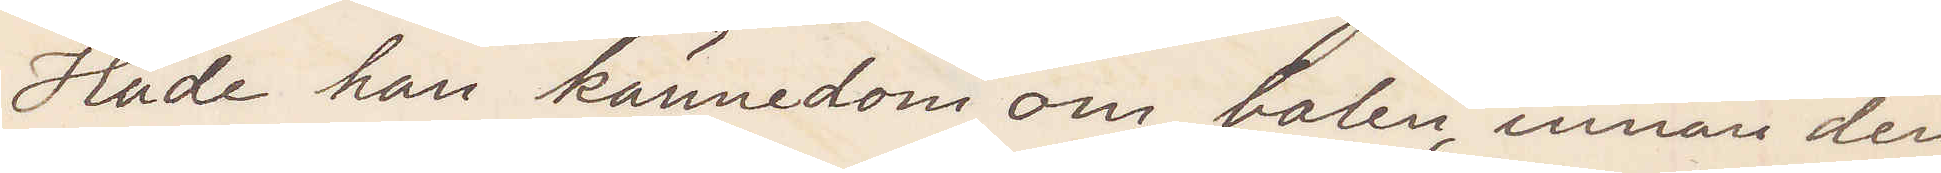Hade han kännedom om balen, innan den
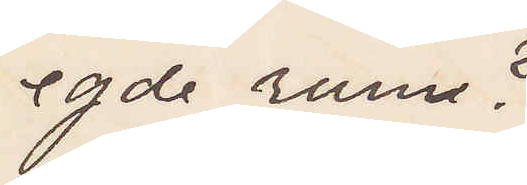egde rum?
